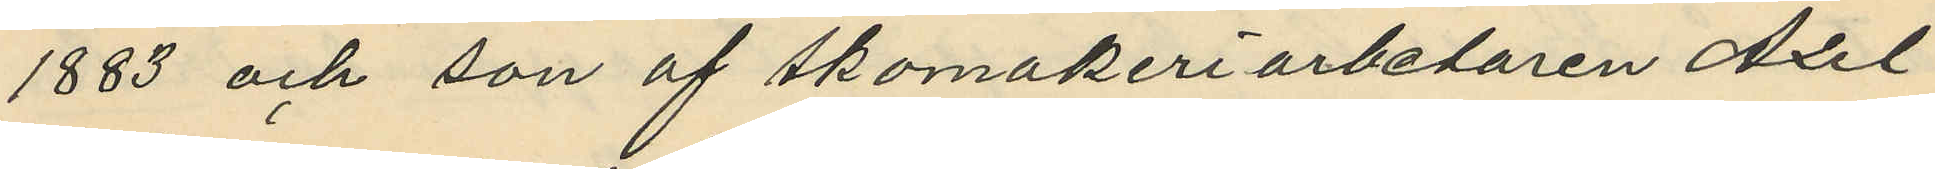1883 och son af skomakeriarbetaren Axel
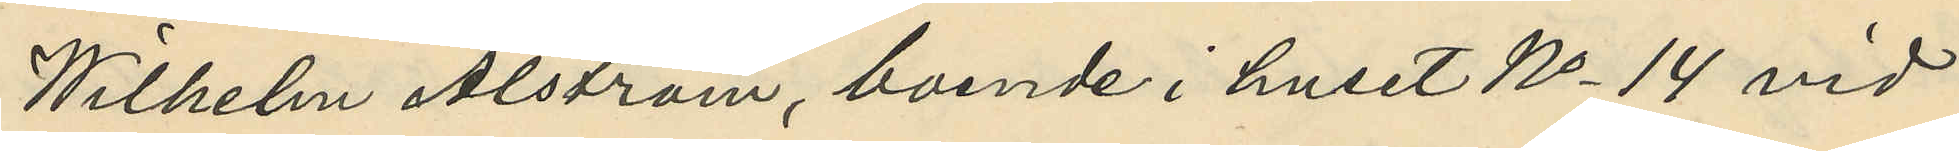Wilhelm Alström, boende i huset No 14 vid
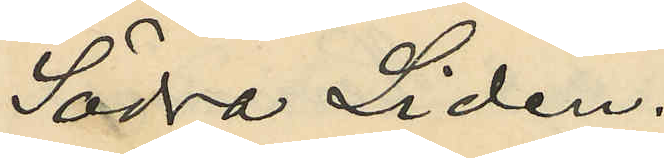Södra Liden.
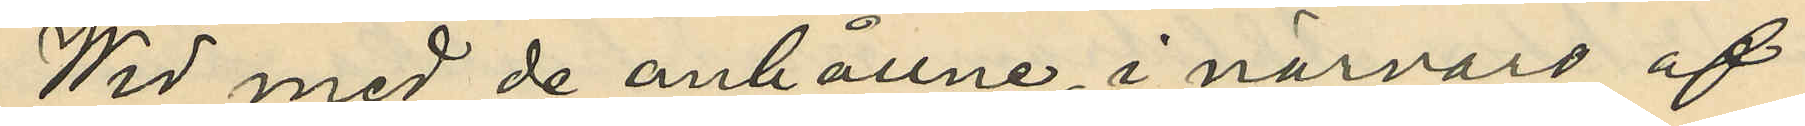Wid med de anhållne, i närvaro af
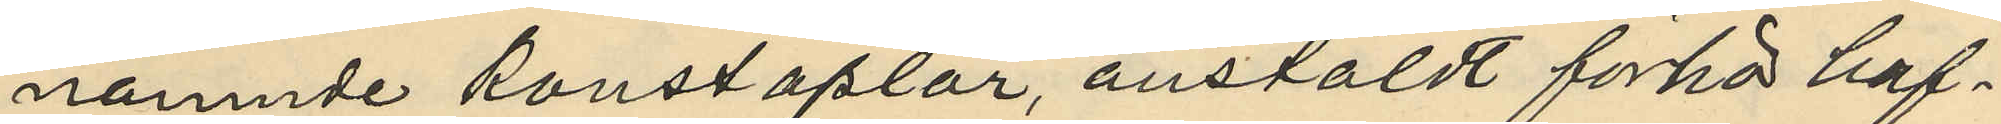nämnde konstaplar, anstäldt förhör haf¬
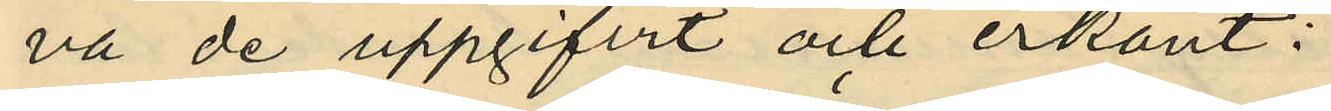va de uppgifvit och erkänt:
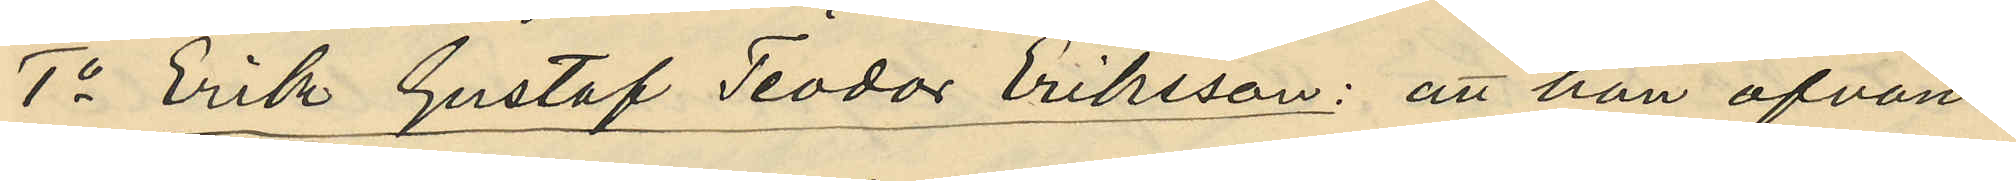1o Erik Gustaf Teodor Eriksson: att han ofvan¬
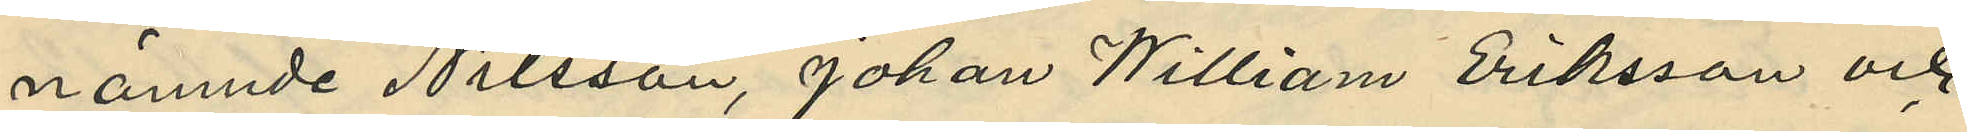nämnde Nilsson, Johan William Eriksson och
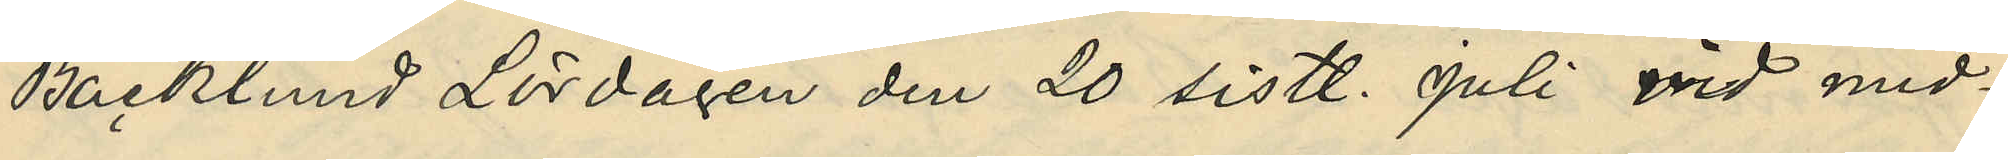Backlund Lördagen den 20 sistl. Juli wid mid¬
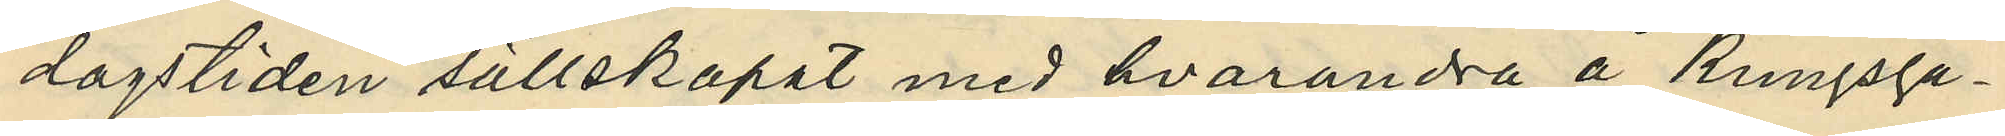dagstiden sällskapat med hvarandra å Kungsga¬
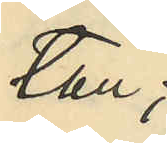tan;
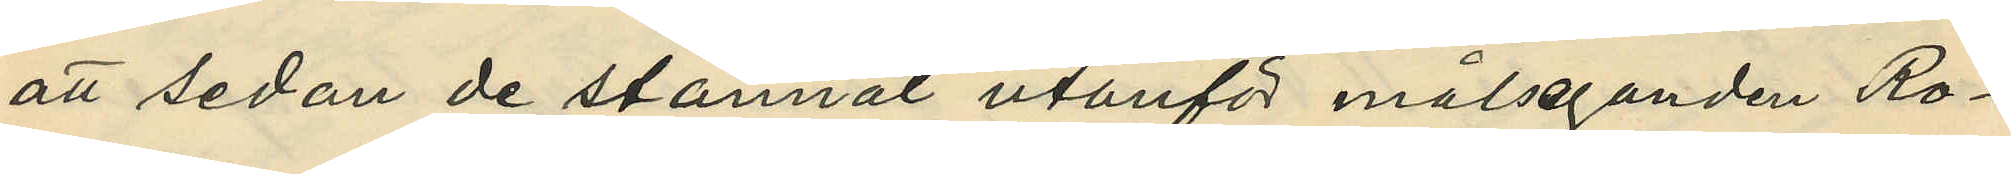att sedan de stannat utanför målseganden Ro¬
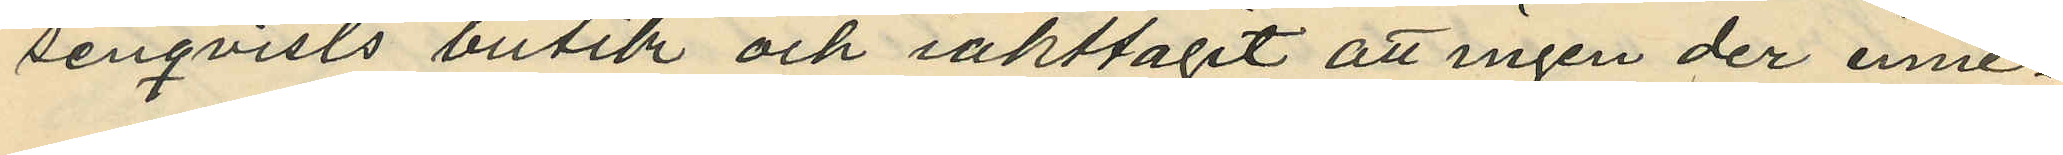senqvists butik och iakttagit att ingen der inne¬
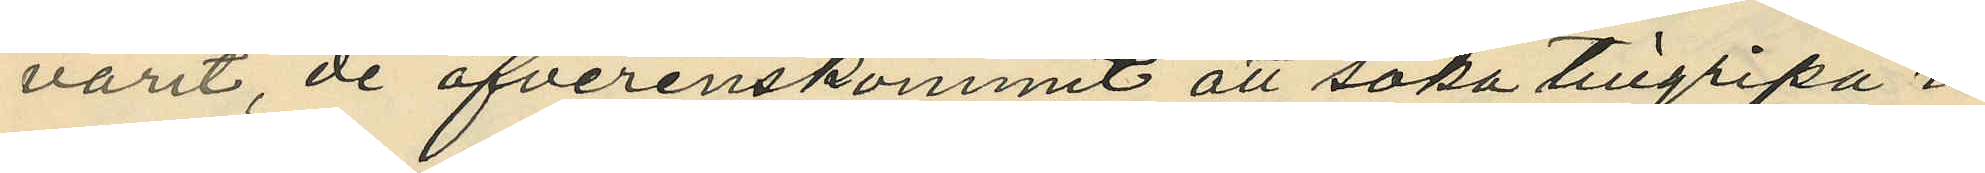varit, de öfverenskommit att söka tillgripa i
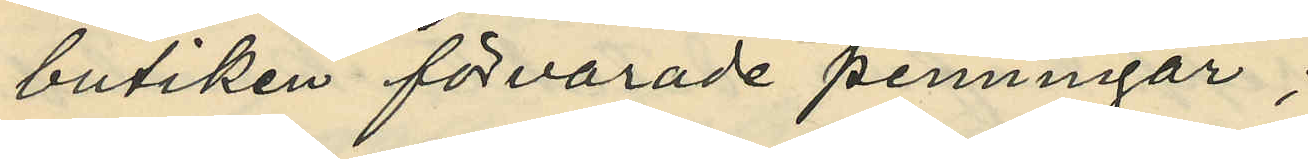butiken förvarade penningar;
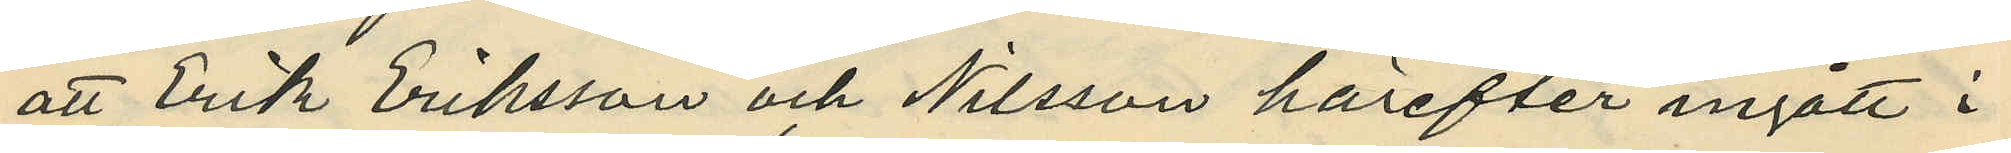att Erik Eriksson och Nilsson härefter ingått i
